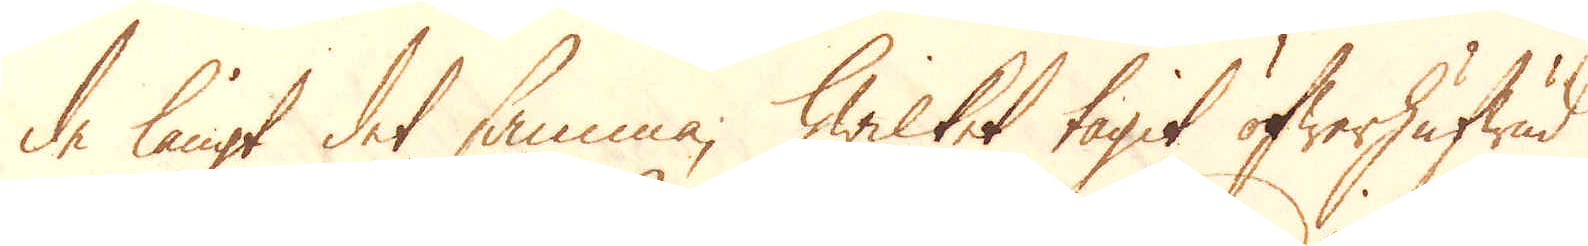de långt det samma, hwilket taget öfwerhufwud
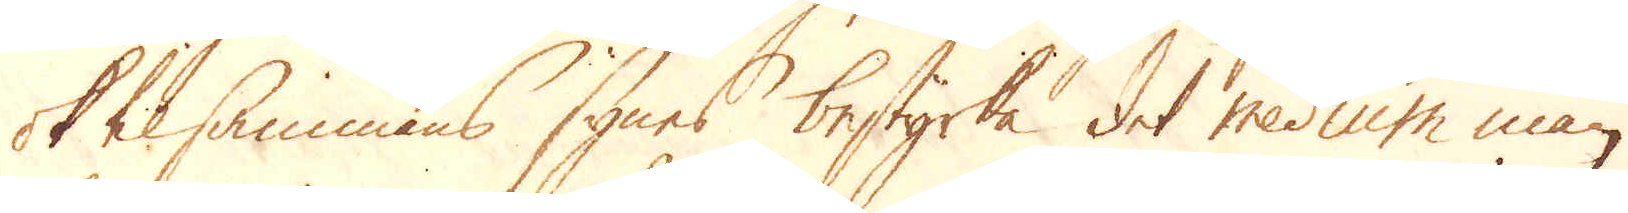ok tilsammans synes bestyrka det medium man
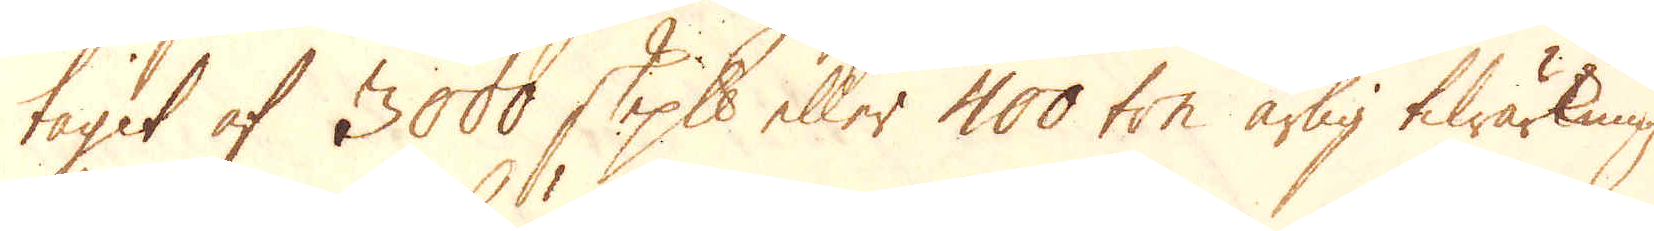tagit af 3000 skeppund eller 400 ton årlig tilwärkning
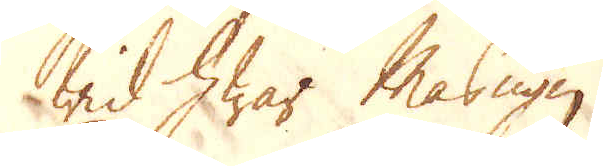wid hwar Masugn.
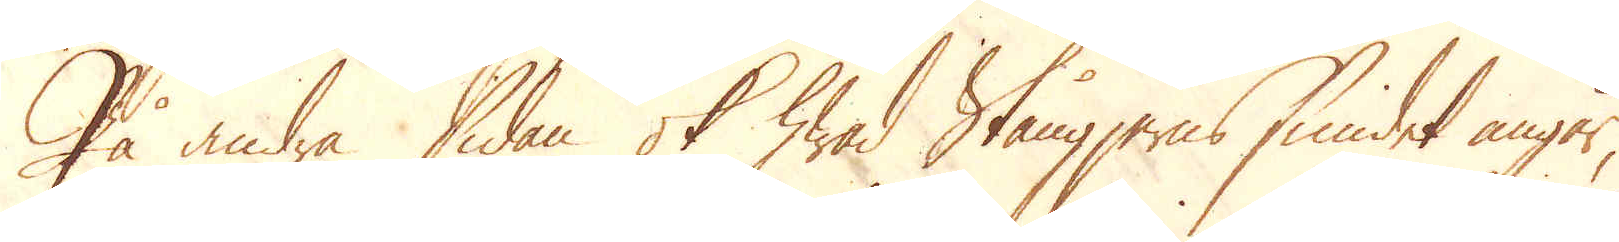På andra sidan ok hwad Stångjerns smidet angår,
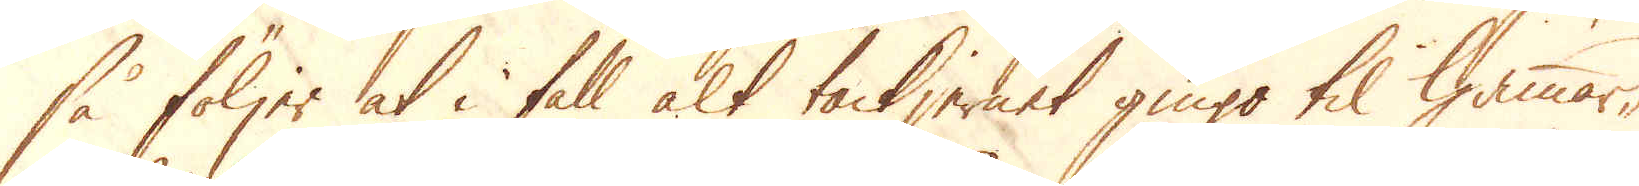så följer at i fall alt tackjernet gingo til hammar-
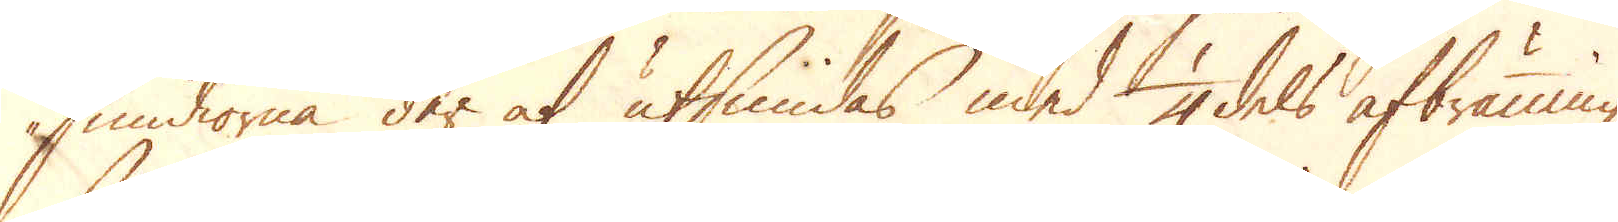smidiorna der at utsmidas med 1/4 dels afbränning,
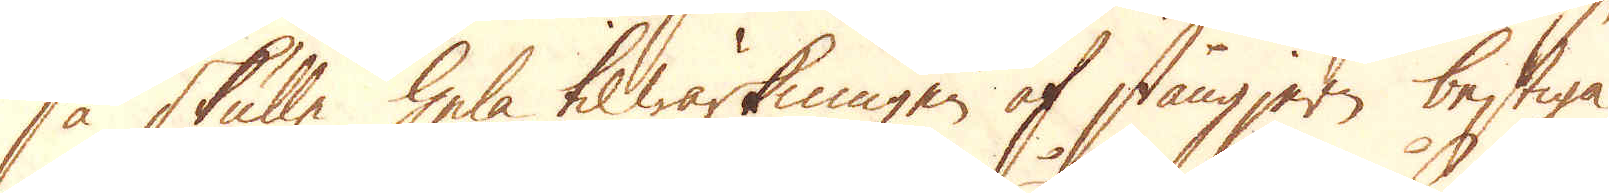så skulle hela tilwärkningen af stångjern bestiga
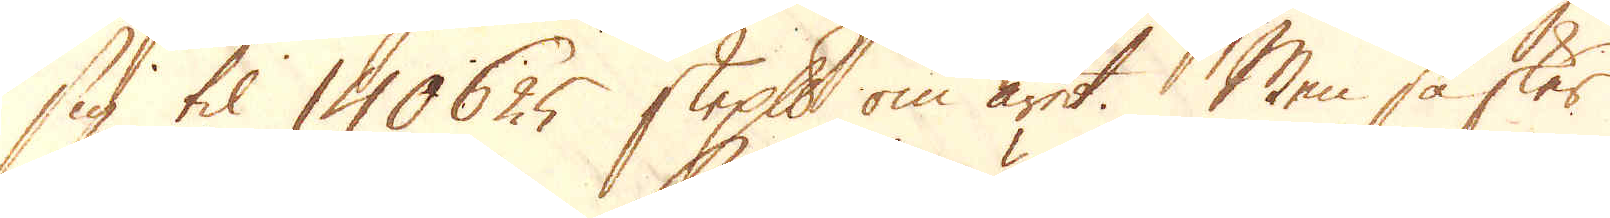sig til 140625 skeppund om året. Men så sker
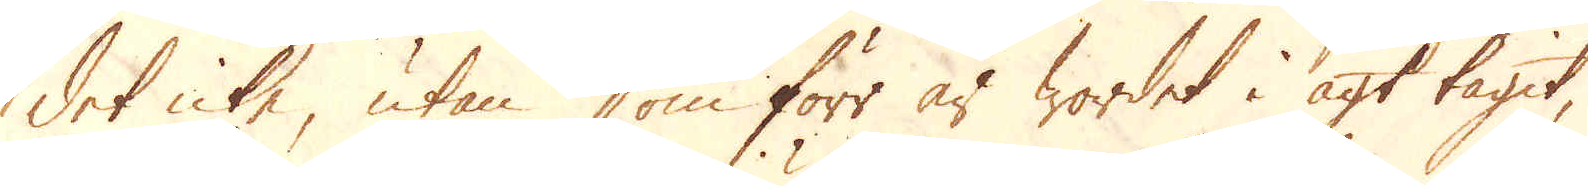det icke, utan som förr är wordet i agt tagit
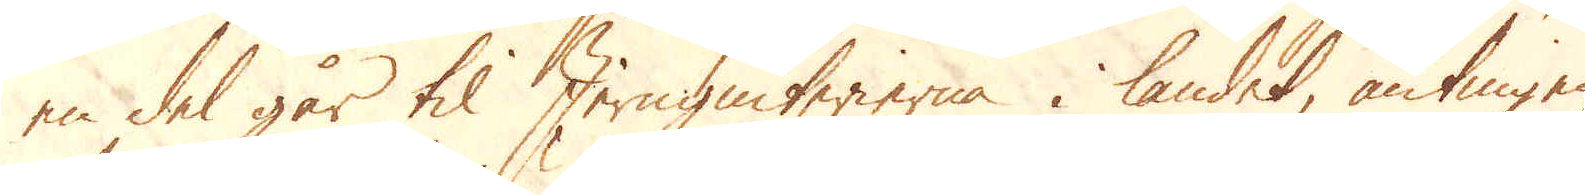en del går til Jerngiuterierna i landet, antingen
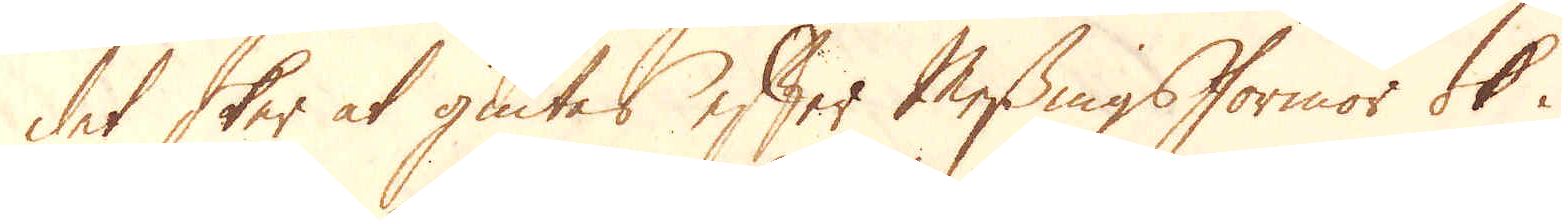det sker at giutes efter Messingsformor ok i
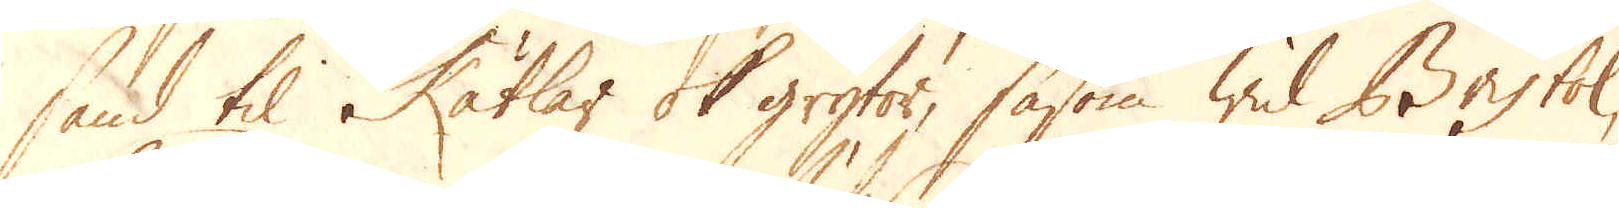sand til Kätlar ok grytor, såsom wid Bristol,
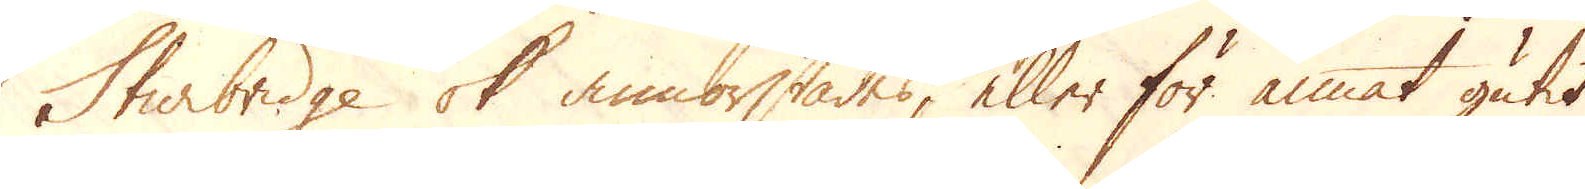Sturbridge ok annorstädes, eller för annat gutit
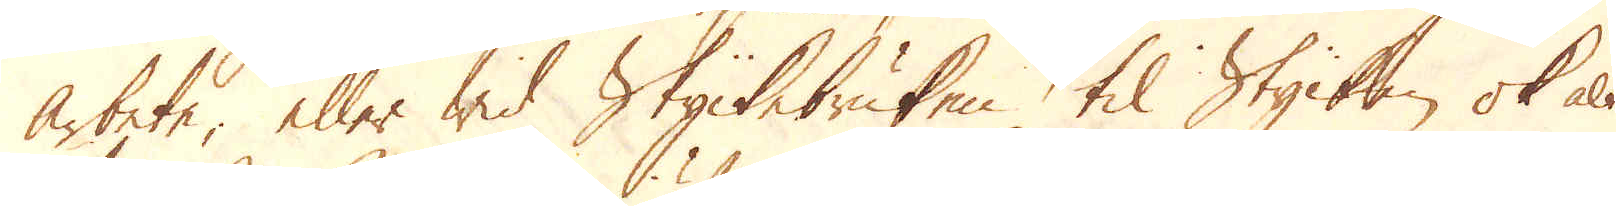arbete, eller wid Styckebruken, til Stycken ok alt
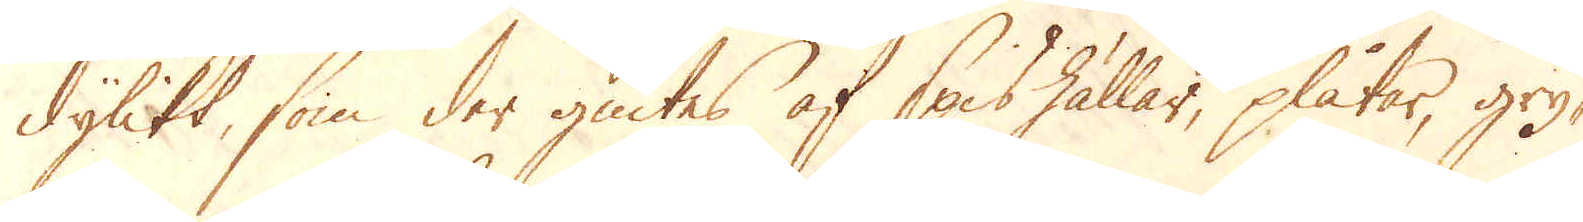dylikt, som der giutes af spishällar, plåtar, gry-
